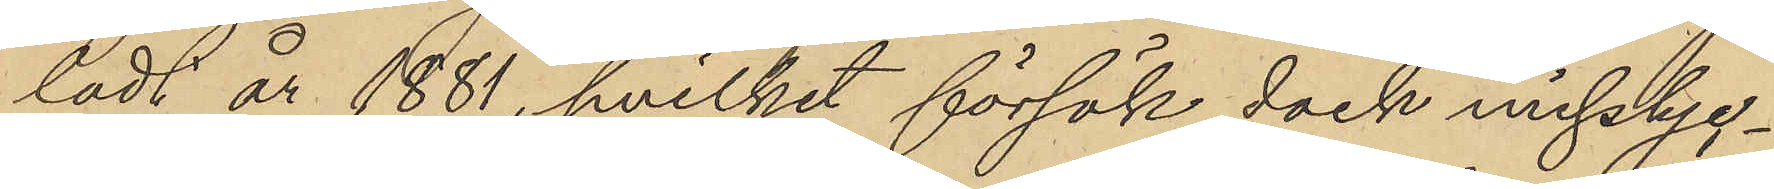ladt år 1881, hvilket försök dock misslyc¬
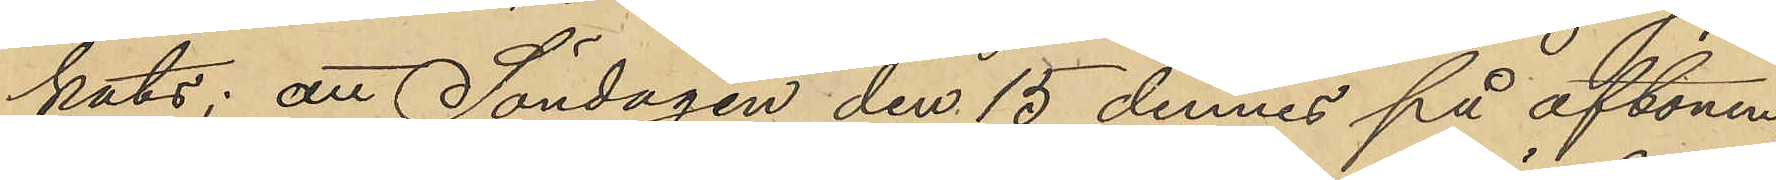kats; att Söndagen den 15 dennes på aftonen,
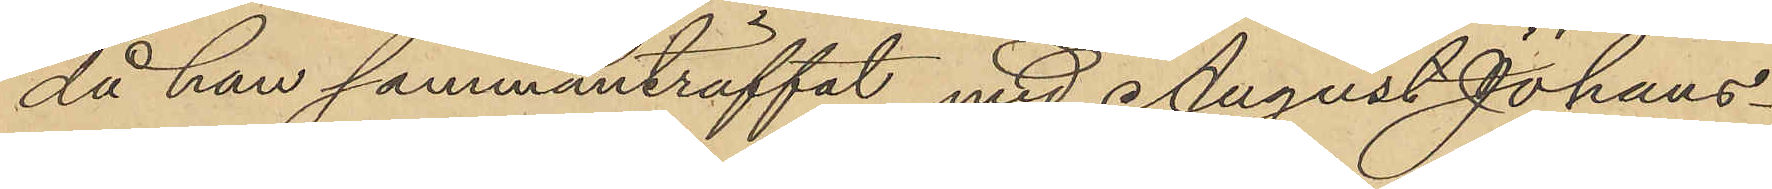då han sammanträffat med August Johans¬
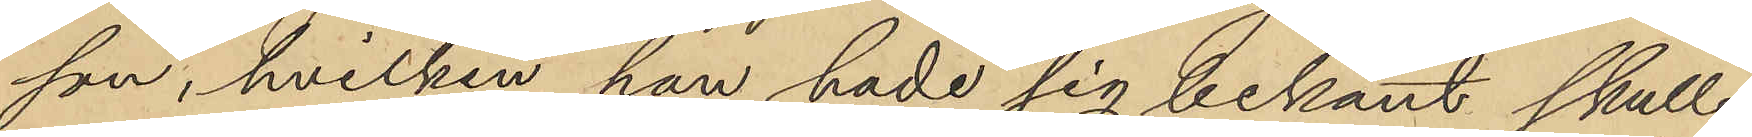son, hvilken han hade sig bekant skulle
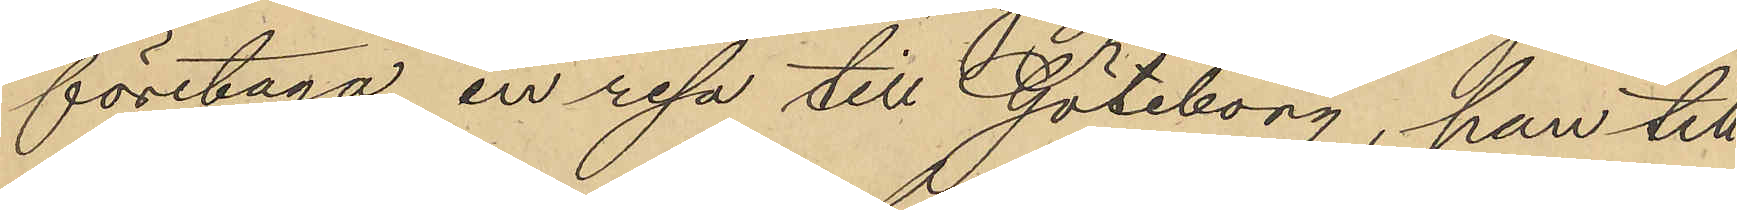företaga en resa till Göteborg, han till
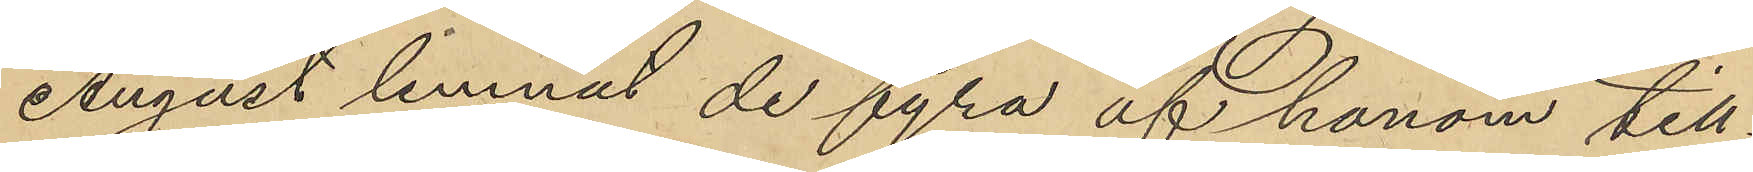August lemnat de fyra af honom till¬
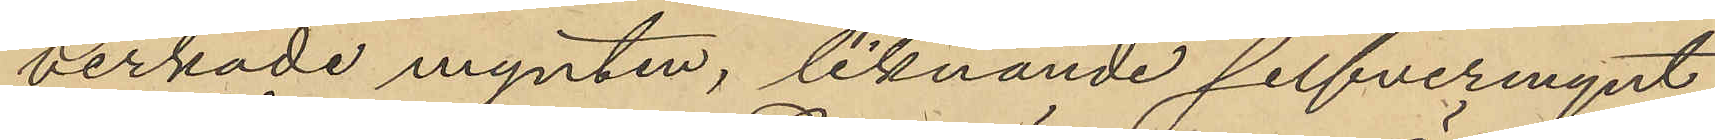verkade mynten, liknande silfvermynt
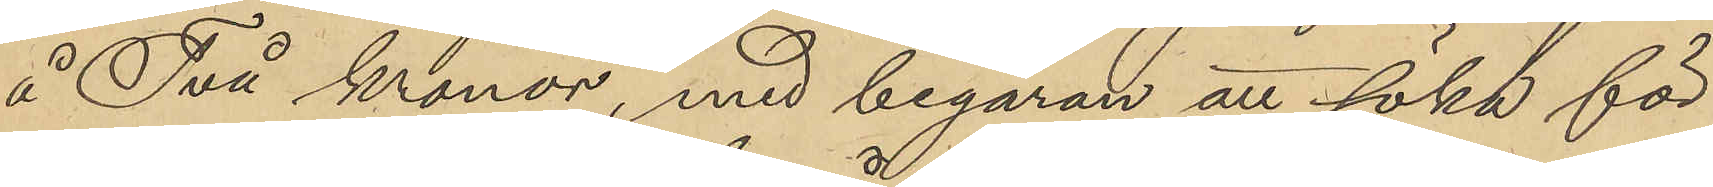å Två kronor, med begäran att söka för
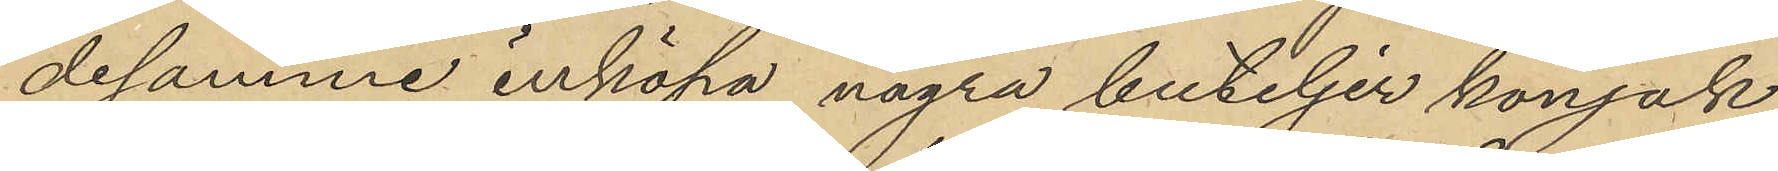desamme inköpa några buteljer konjak,
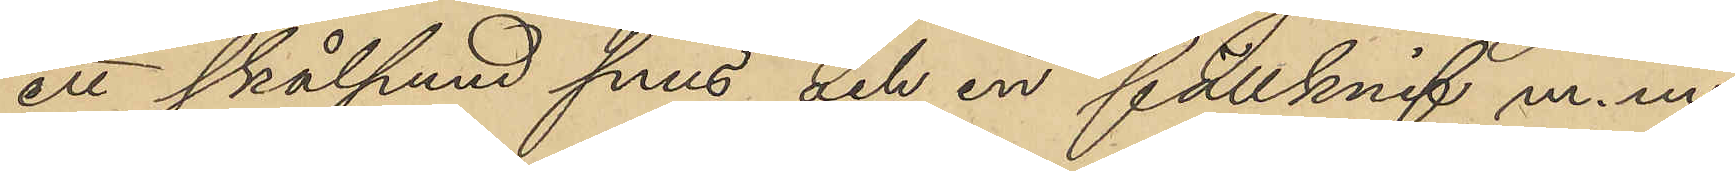etl skålpund snus och en fällknif m. m;
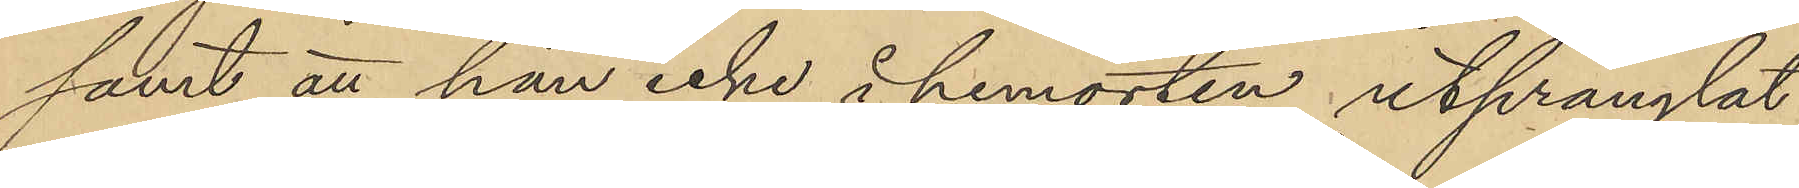samt att han icke å hemorten utprånglat
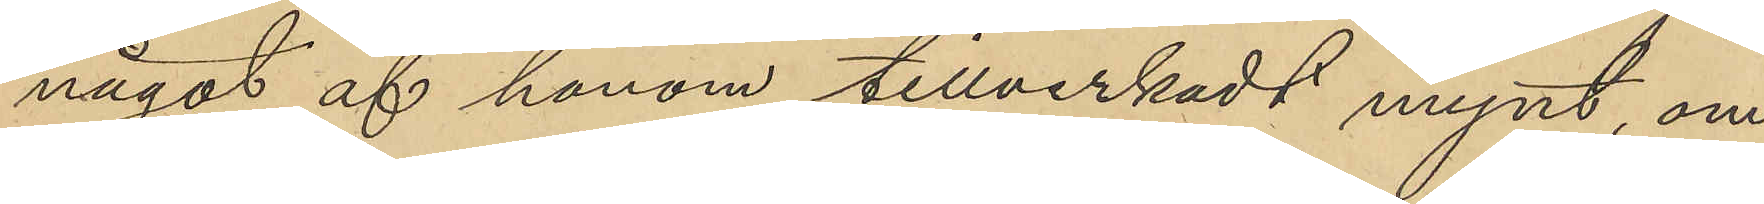något af honom tillverkadt mynt, om
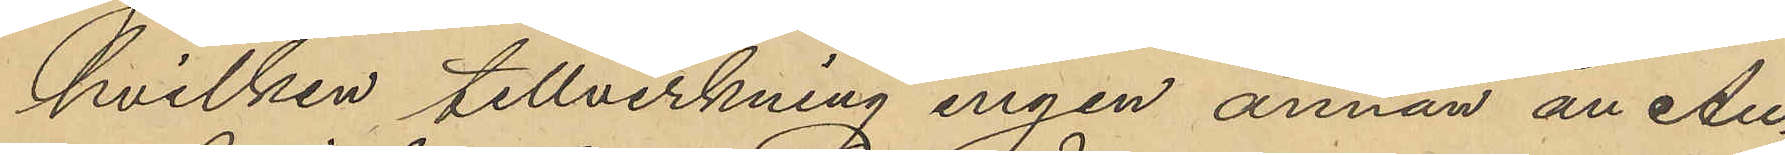hvilken tillverkning ingen annan at Au¬
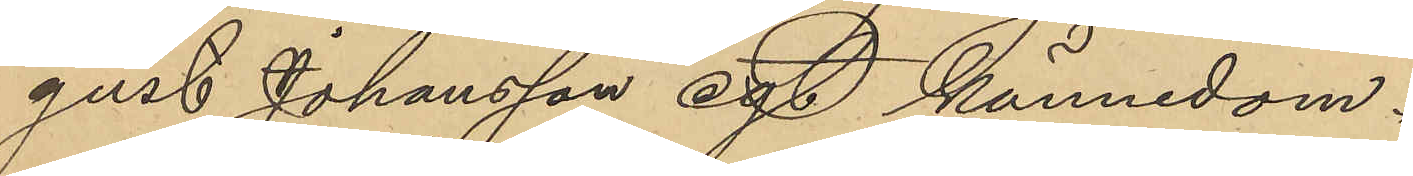gust Johansson egt kännedom.
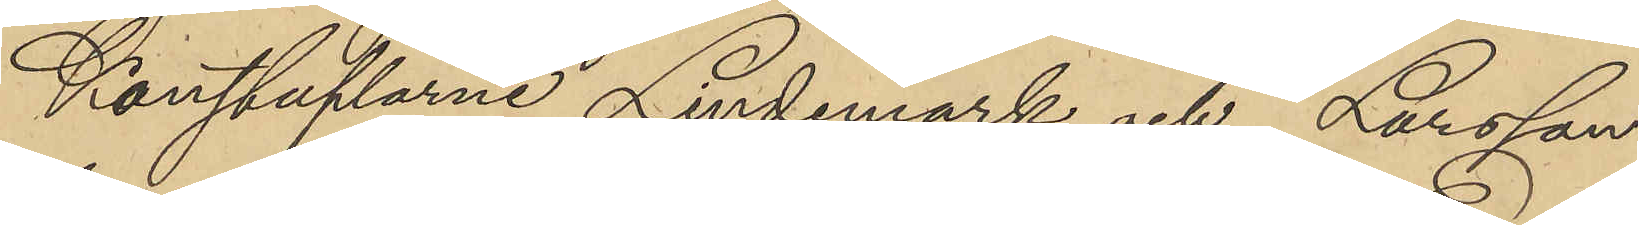Konstaplarne Lindemark och Larsson
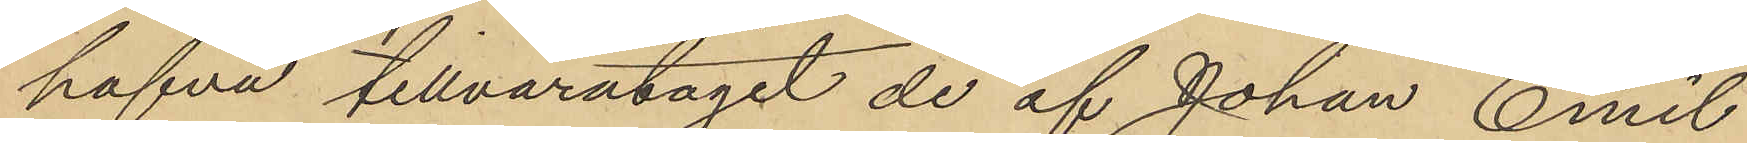hafva tillvaratagit de af Johan Emil
